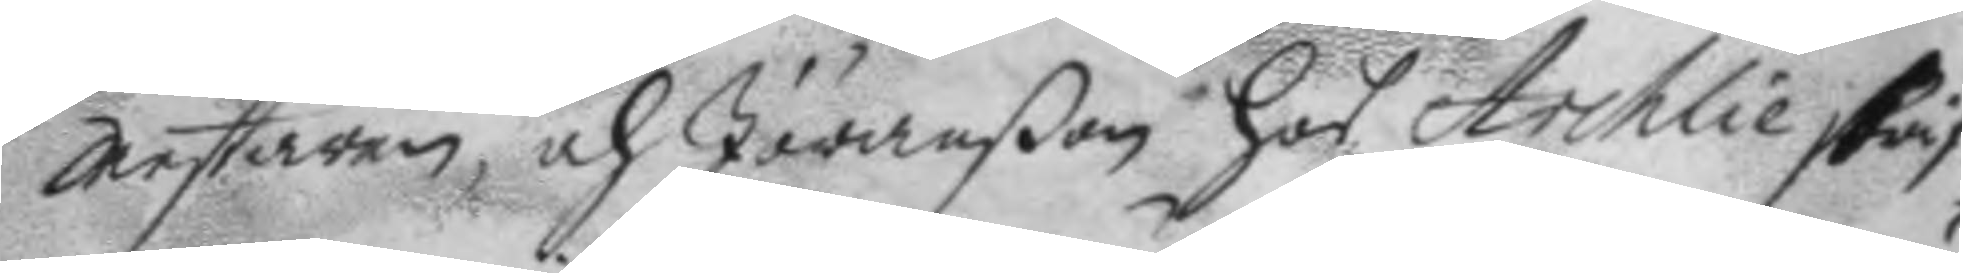mestaren, och Jöranßon hos Archlieskrif¬
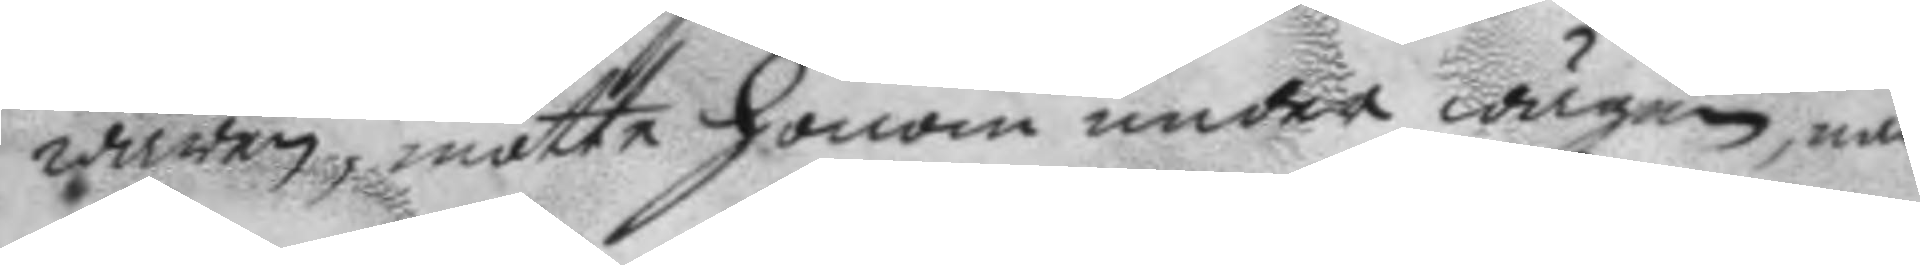waren, mötte honom under wägen, när
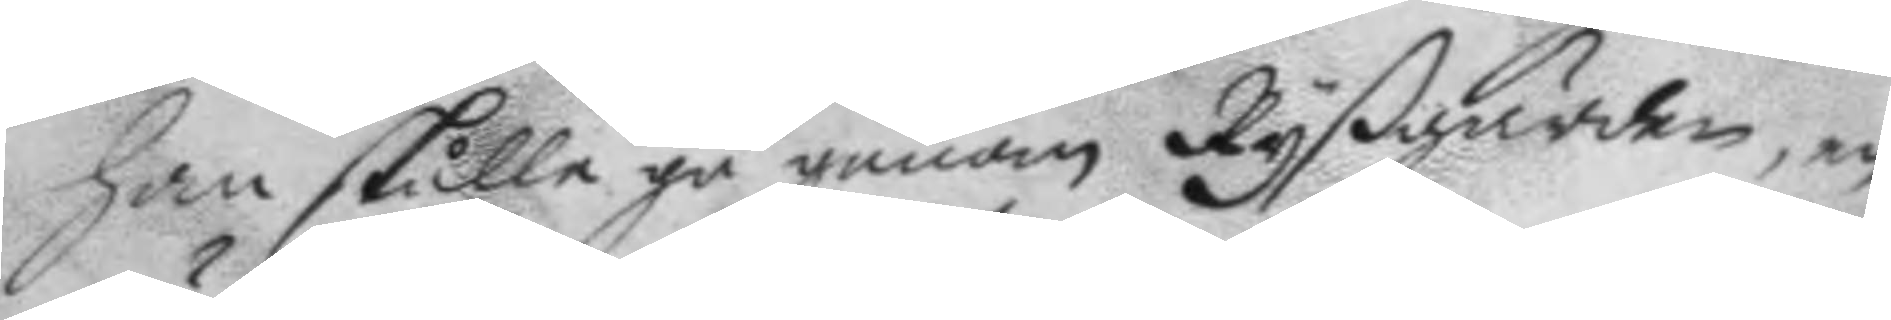han skulle gå genom Ryßgården, en
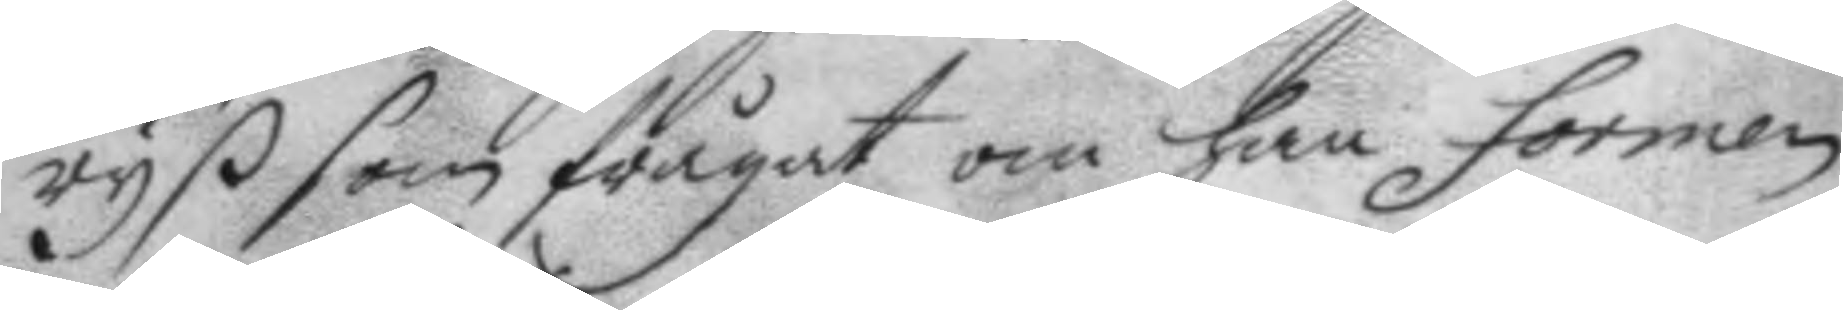ryß som frågat om han formen
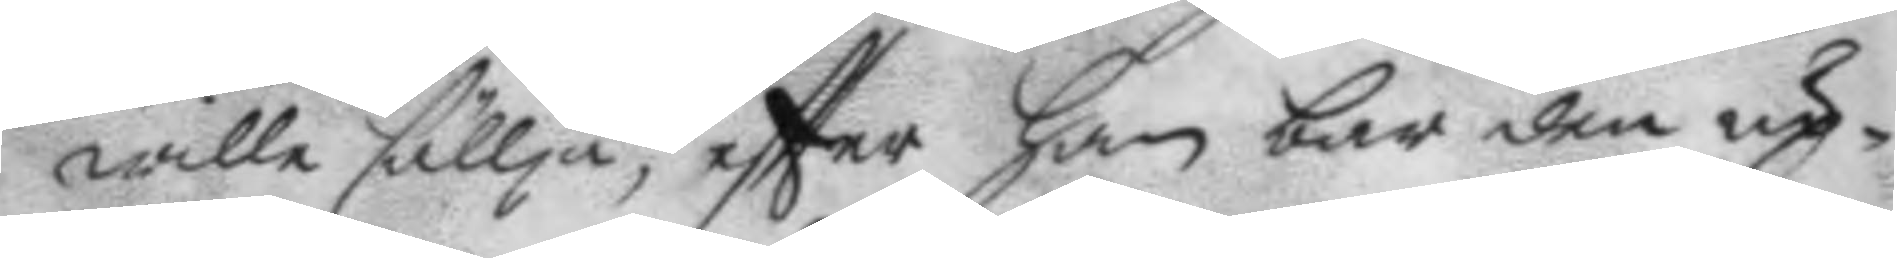wille sällja, eftter han bar den up¬
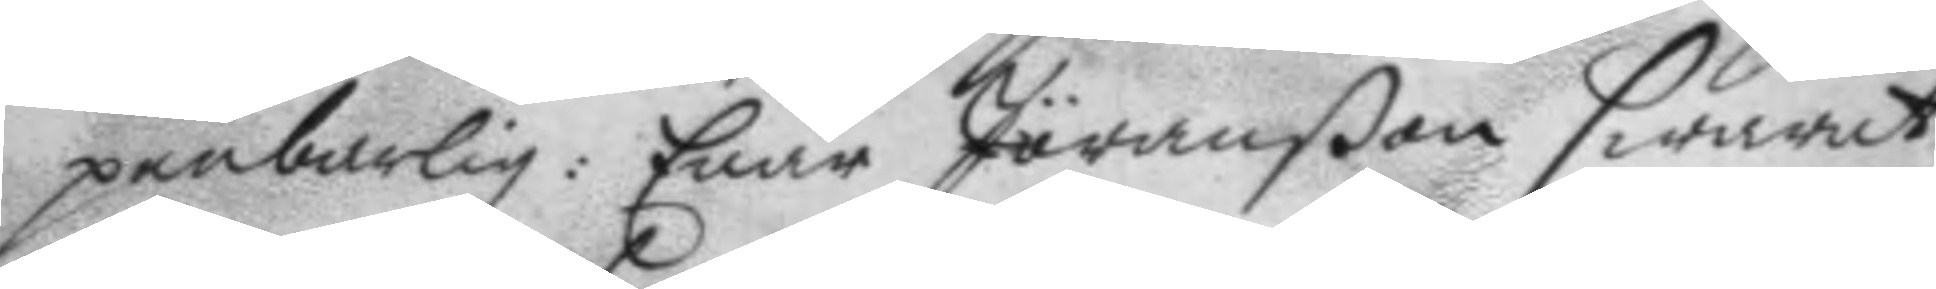penbarlig: Enär Jöranßon swarat
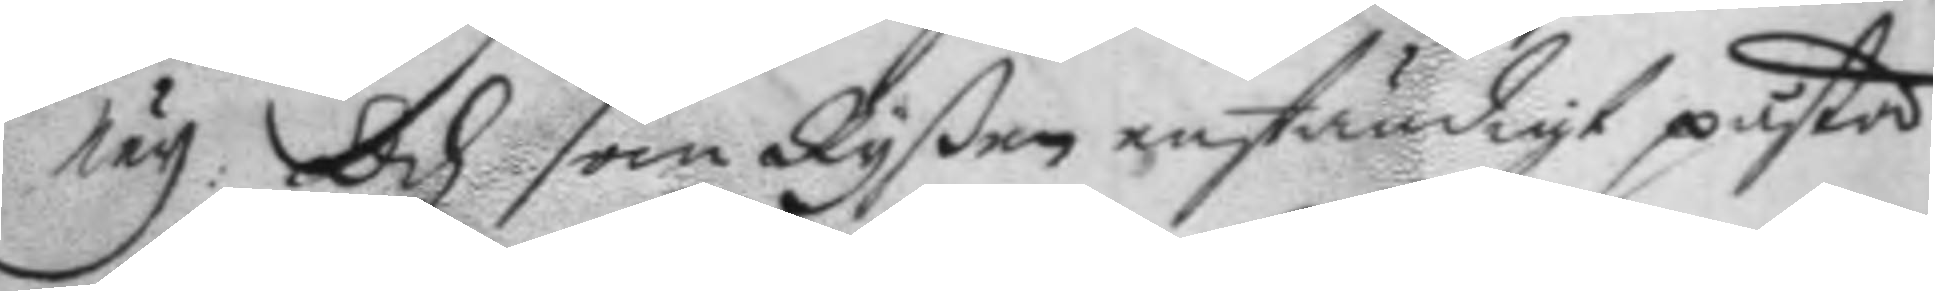Ney. Och som Ryßen enständigt påstå
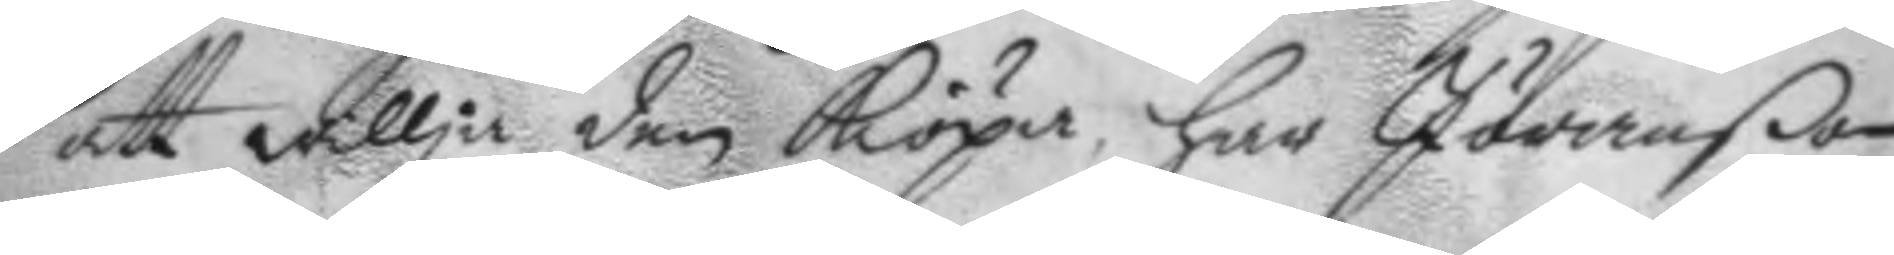att willja den Köpia, har Jöranßon
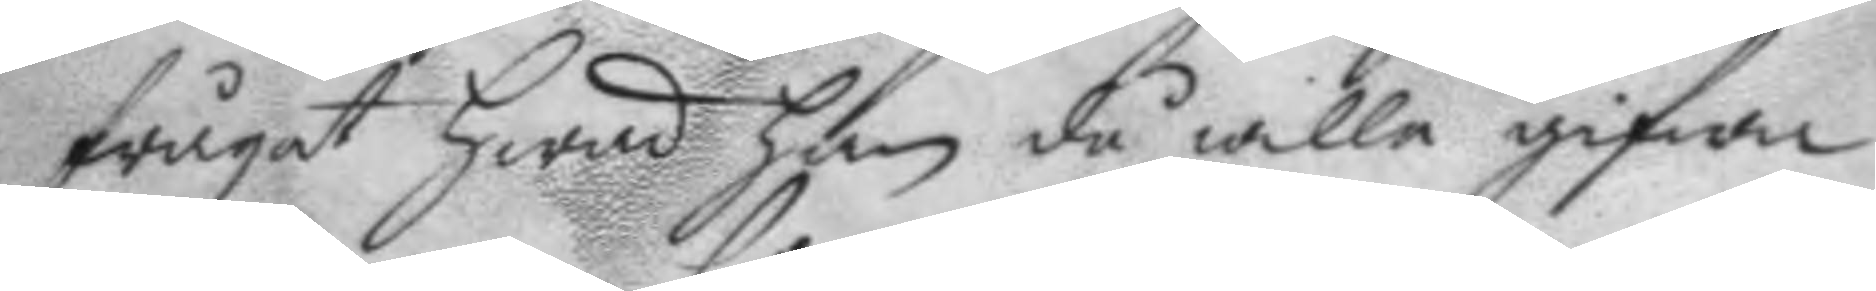frågat hwad han då wille gifwa
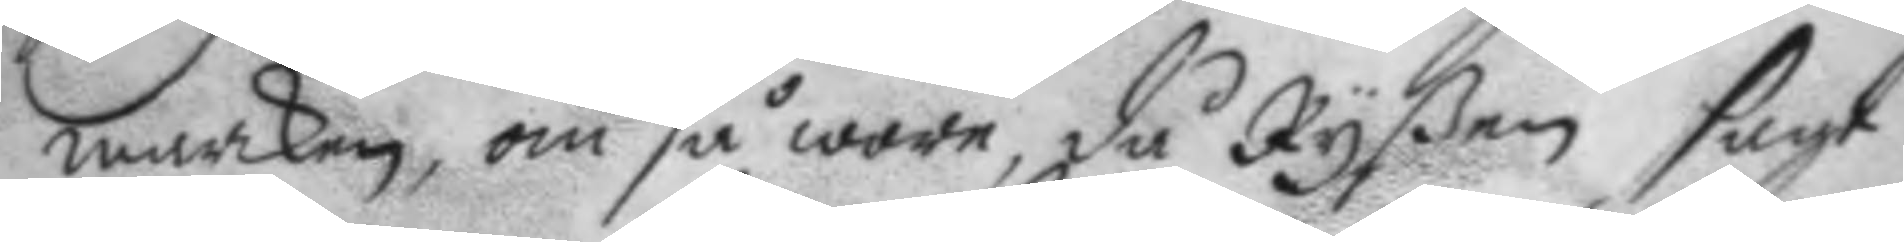marken, om så wore, då Ryßen sagt
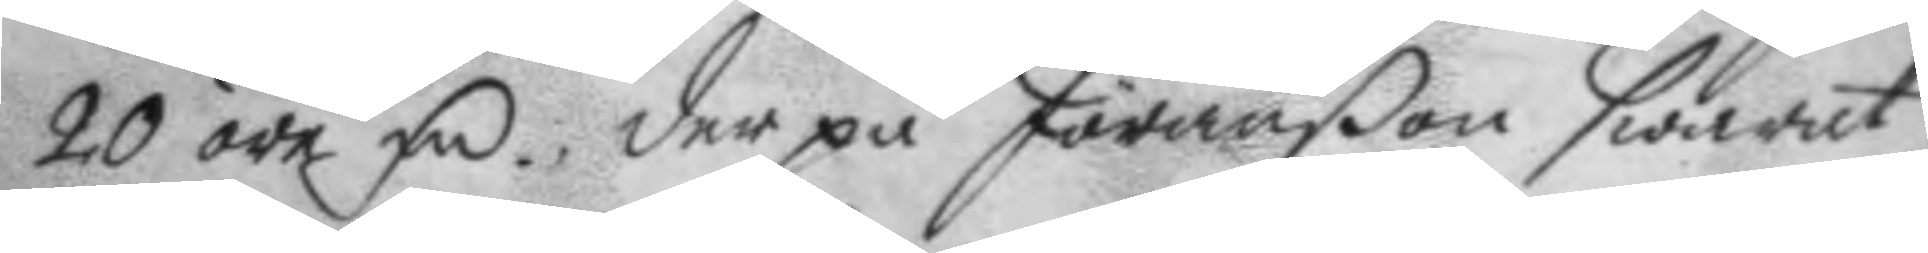20 öre Fm, der på Jöranßon swarat
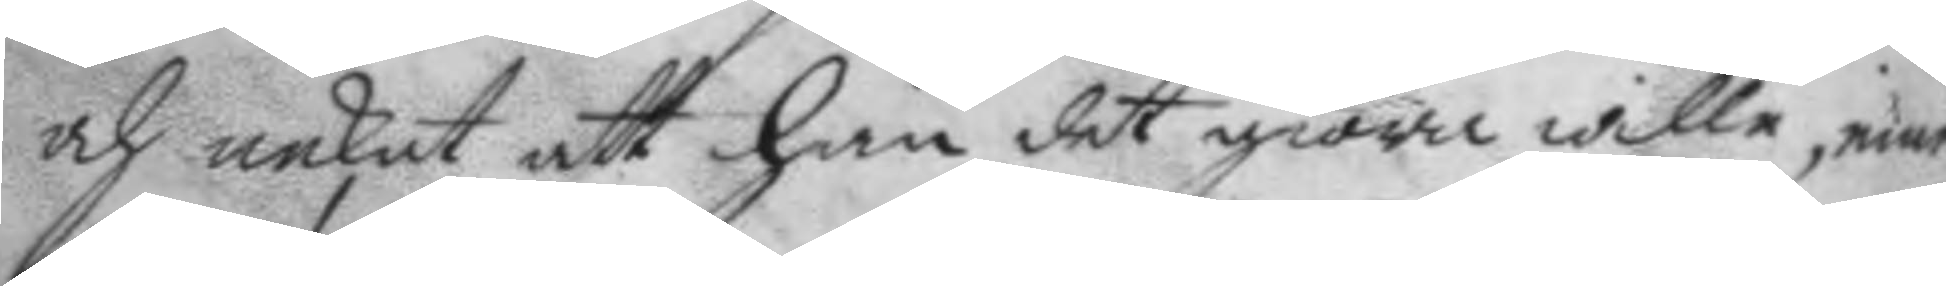och nekat att han det giöra wille, emed¬
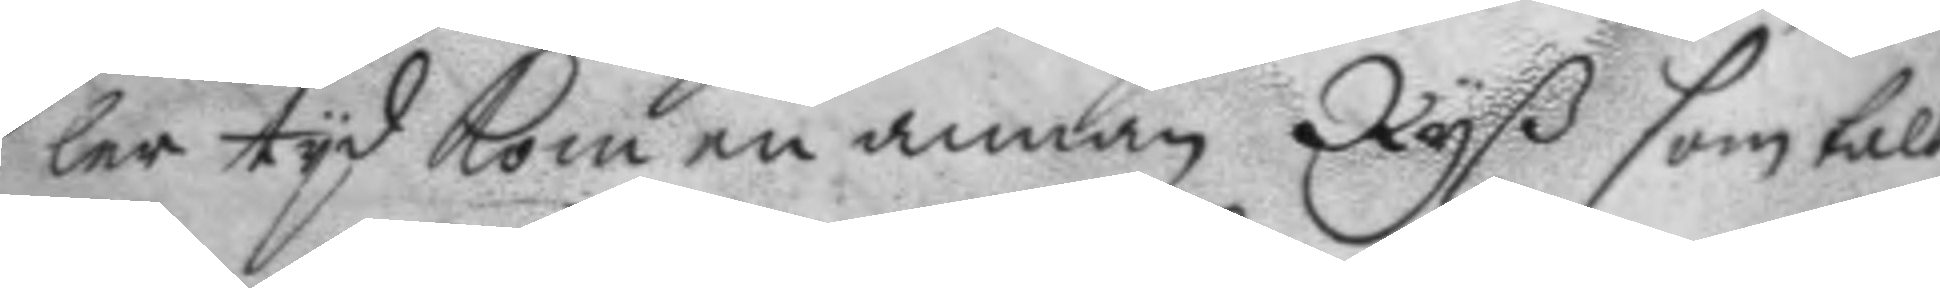ler tyd kom en annan Ryß som talt
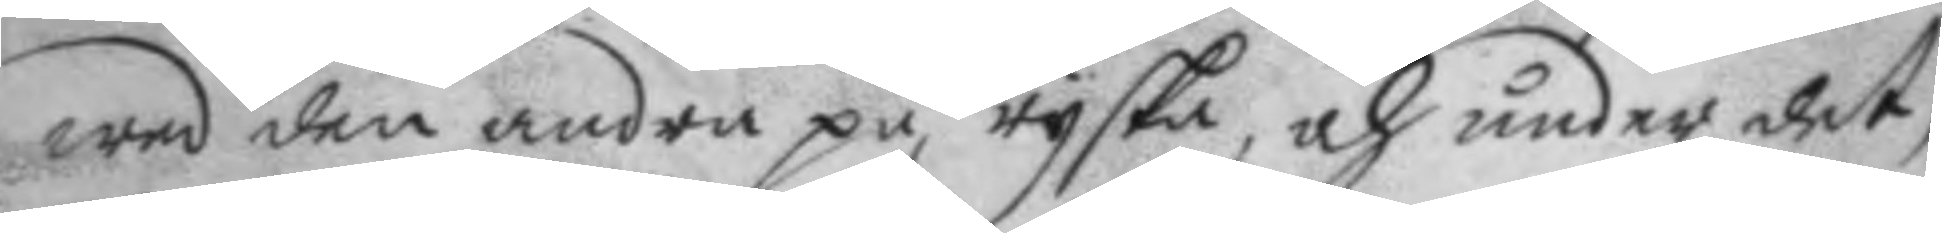wed den andra på ryska, och under det
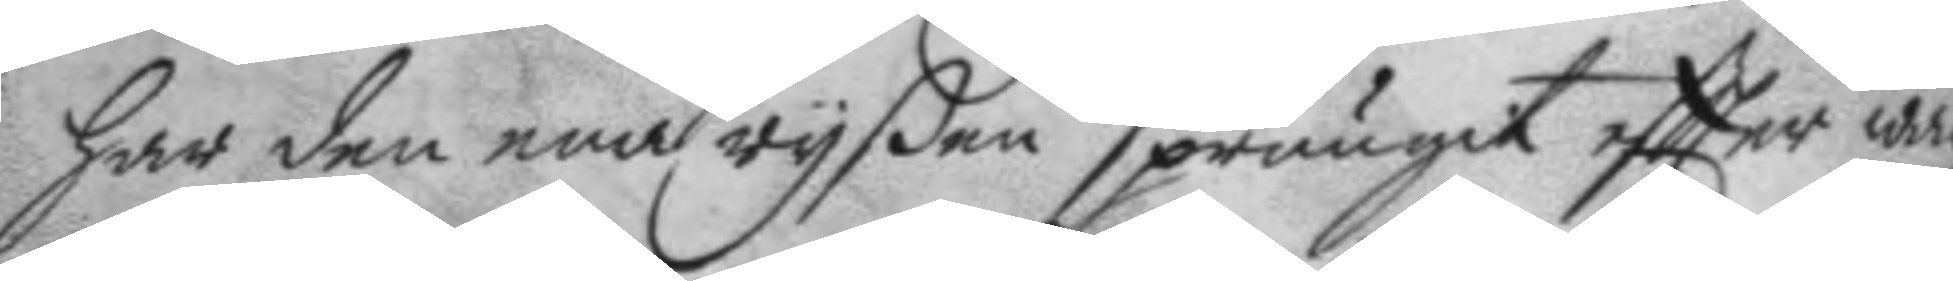har den ena ryßen sprungit eftter wach¬
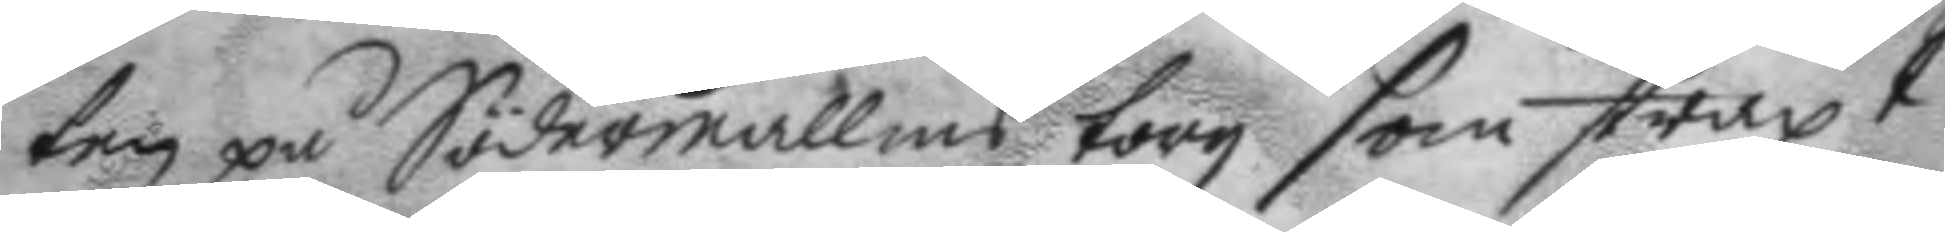ten på Södermallms torg som straxt
